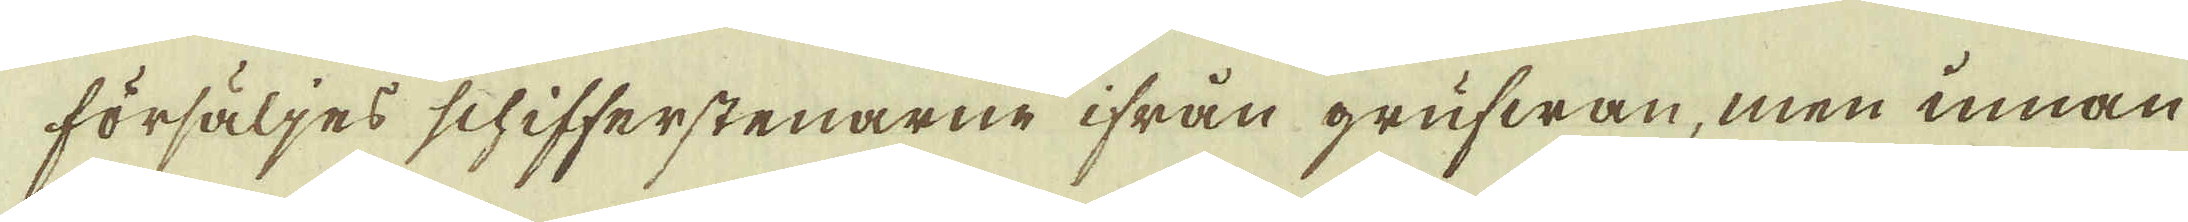försäljes schifferstenarne ifrån grufwan, men innan
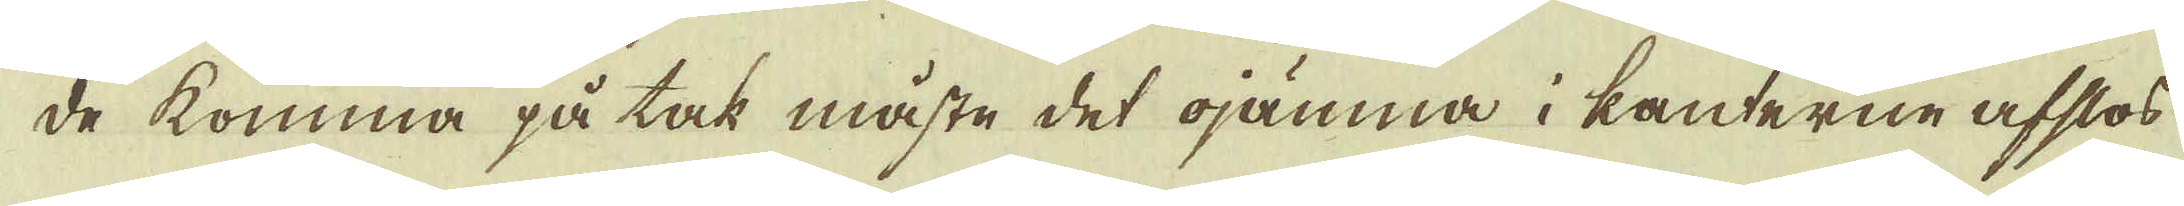de komma på tak måste det ojämna i kanterne afslos
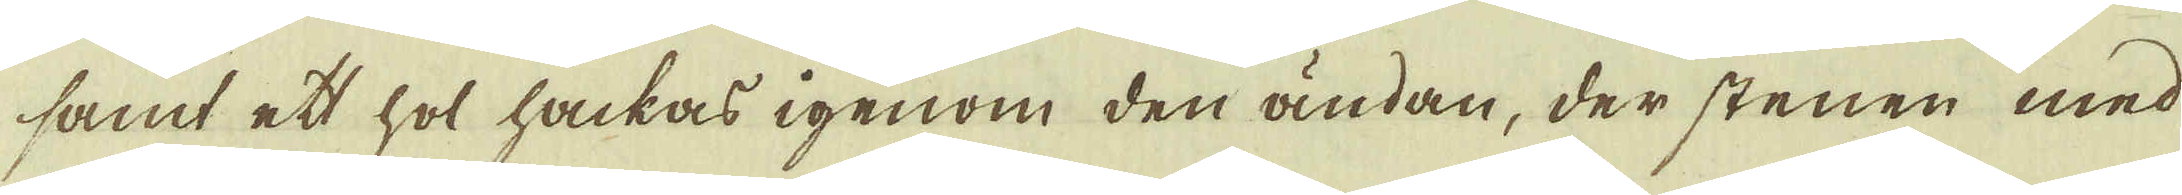samt ett hol hackas igenom den ändan, der stenen med
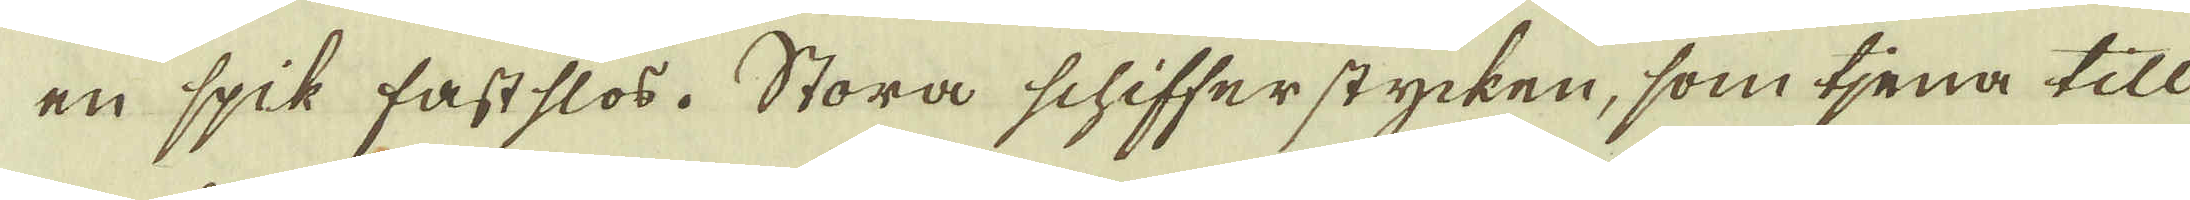en spik fastslos. Stora schifferstycken, som tjena till
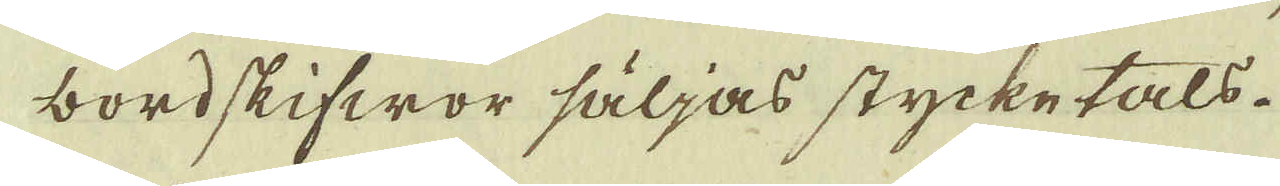bordskifwor säljas stycketals.
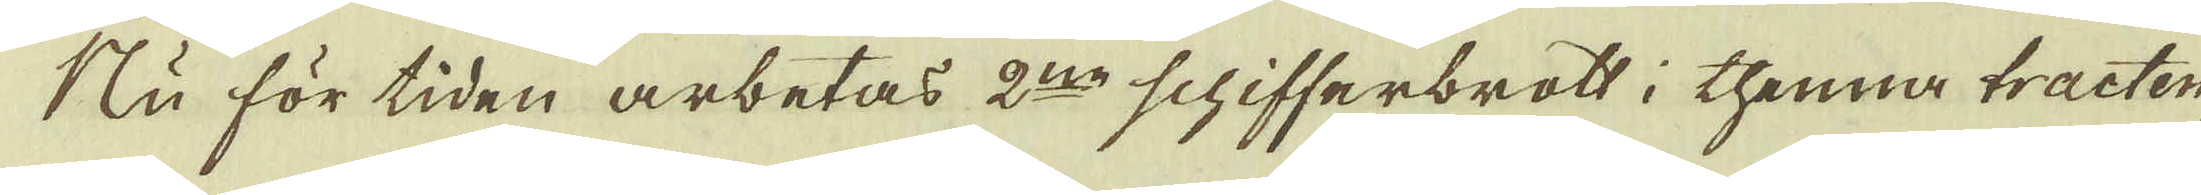Nu för tiden arbetas 2:ne schifferbrott i thenna tracten,
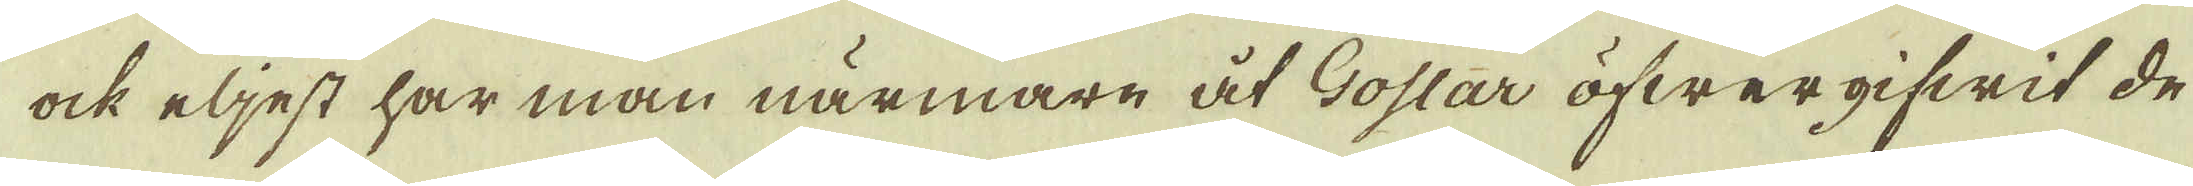ock eljest har man närmare åt Goslar öfwergifwit de
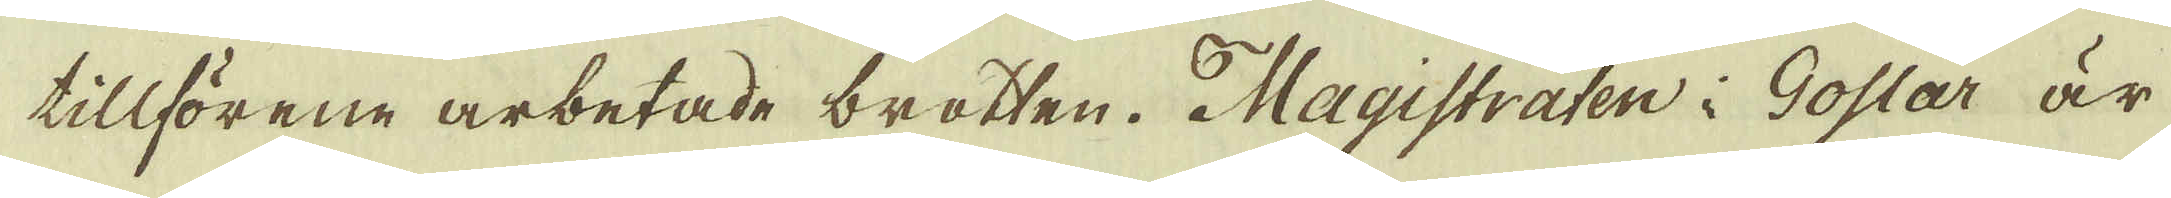tillförene arbetade brotten. Magistraten i Goslar är
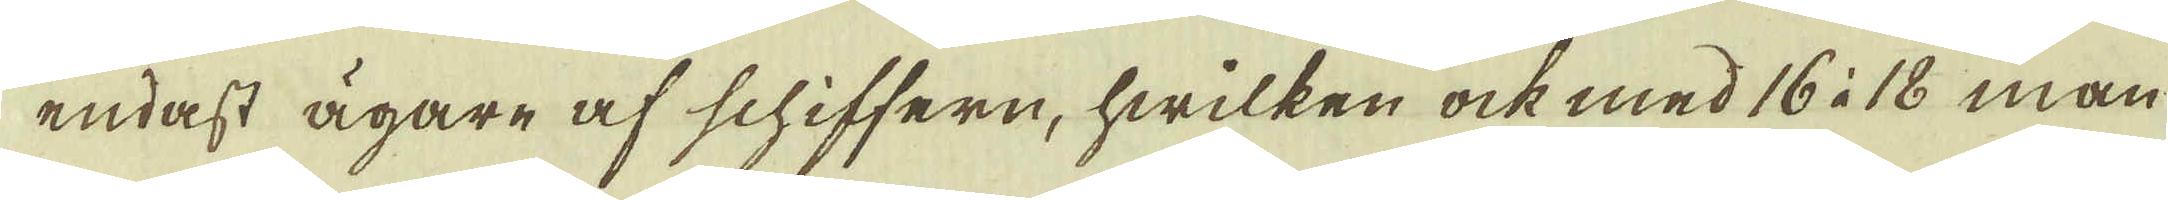endast ägare af schiffern, hwilken ock med 16 à 18 man
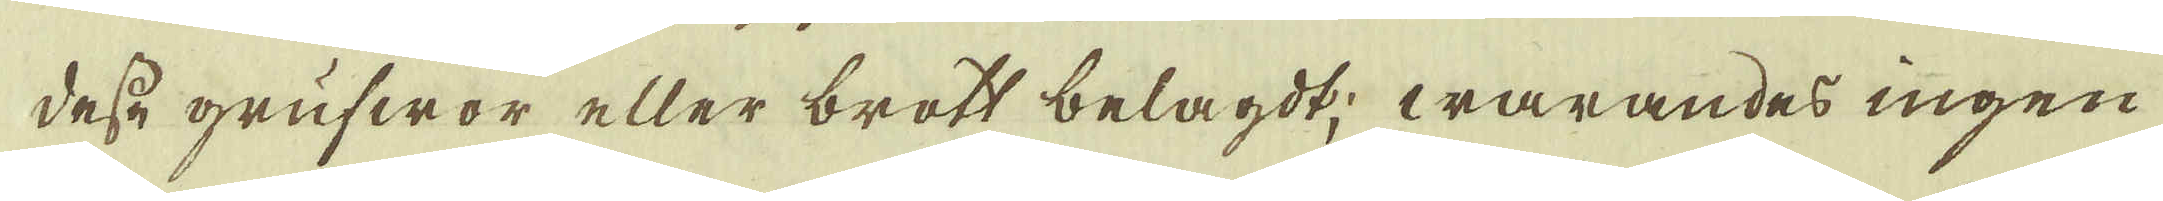desse grufwor eller brott belagdt; warandes ingen
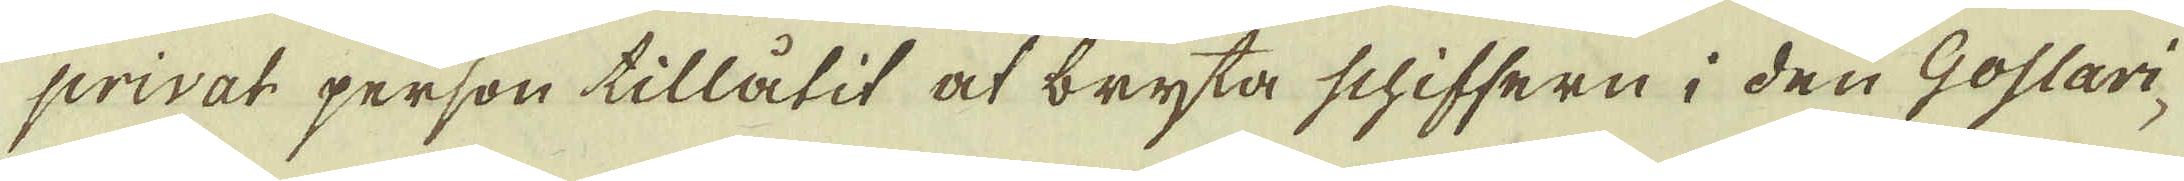privat person tillåtit at bryta schiffern i den Goslari-
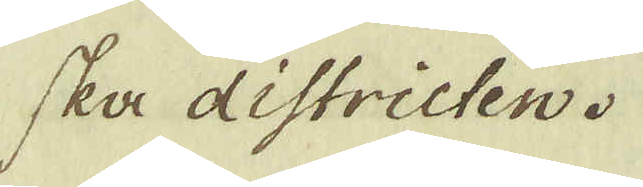ska districten.
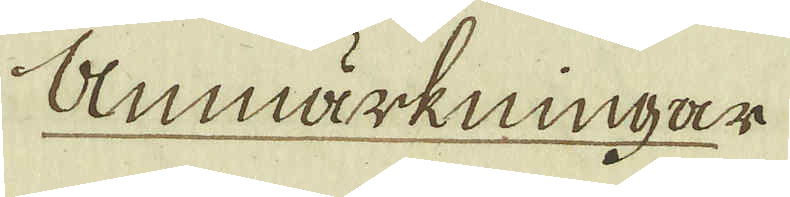Anmärkningar
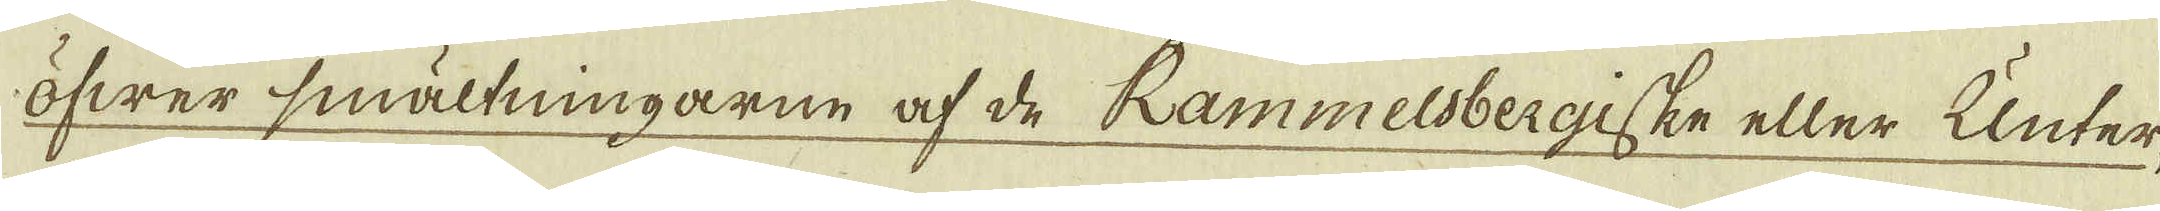öfwer smältningarne af de Rammelsbergiske eller Unter-
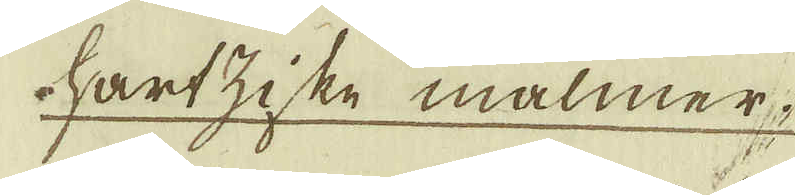hartziske malmer.
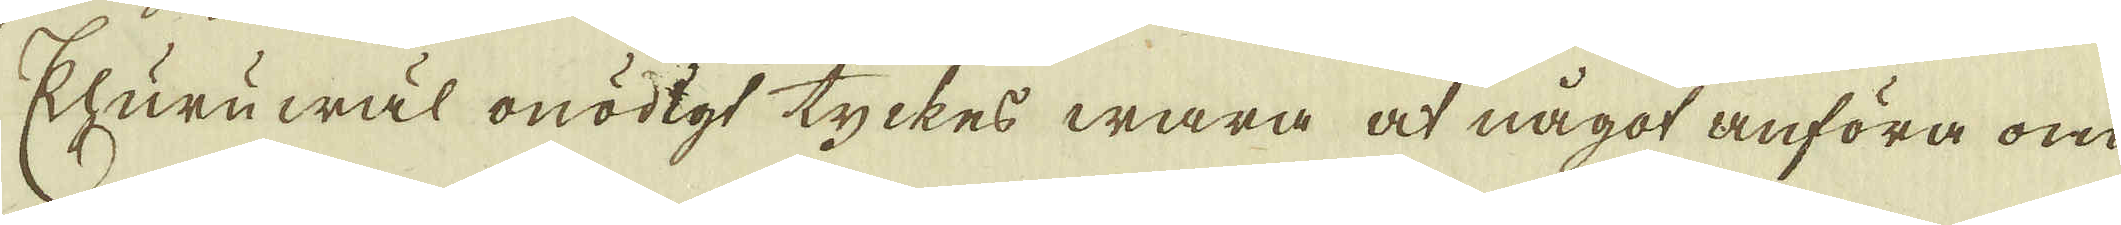Ehuruwäl onödigt tyckes wara at något anföra om
